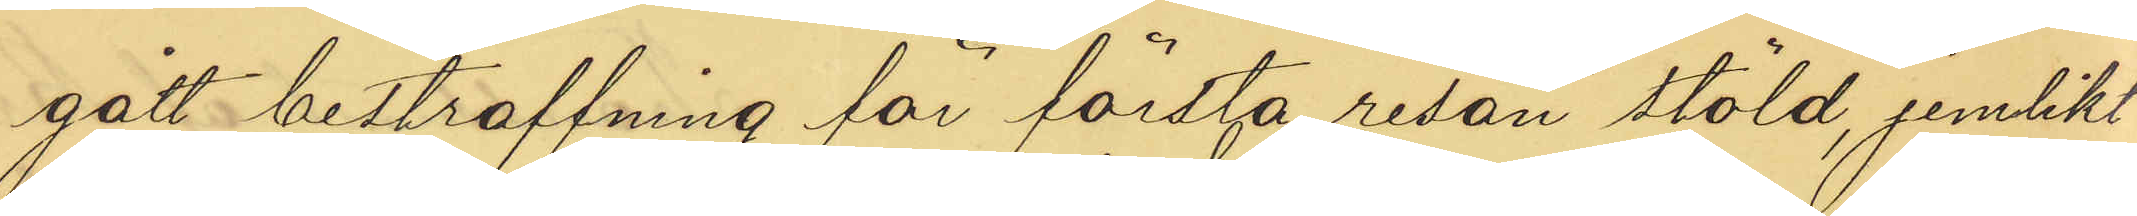gått bestraffning för första resan stöld, jemlikt
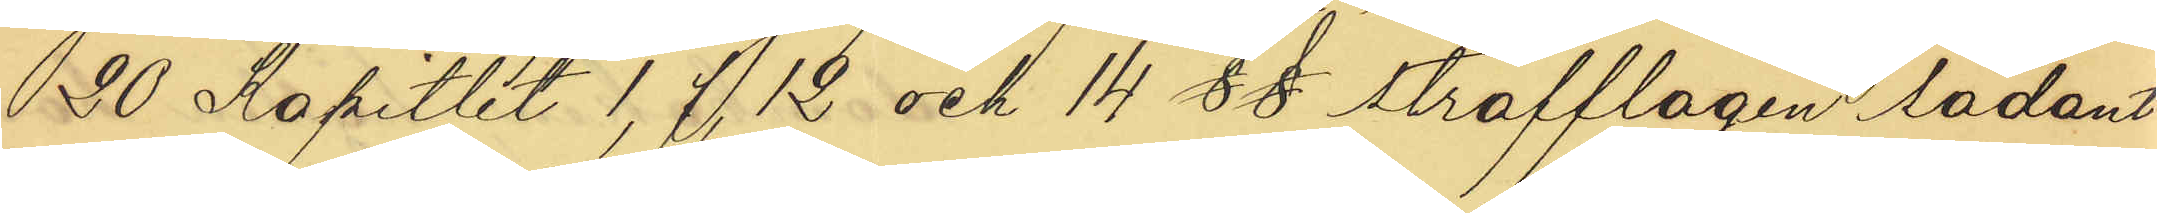20 Kapitlet 1, 7, 12 och 14  §§ strafflagen sådant
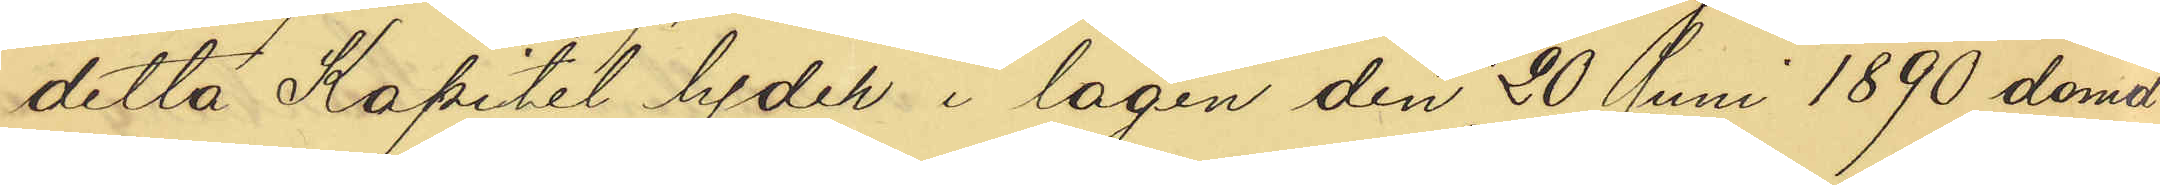detta Kapitel lyder i lagen den 20 Juni 1890 dömd
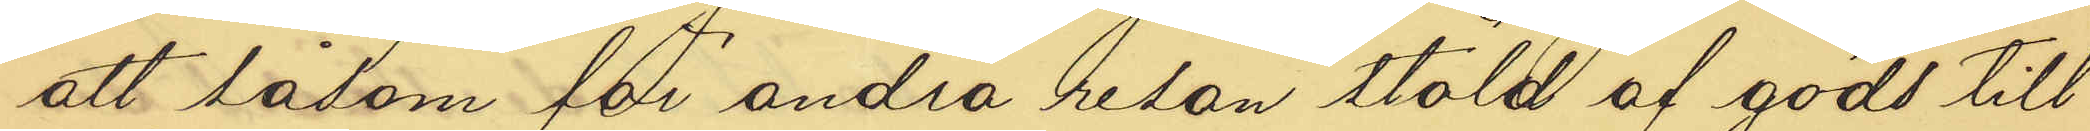att såsom för andra resan stöld af gods till
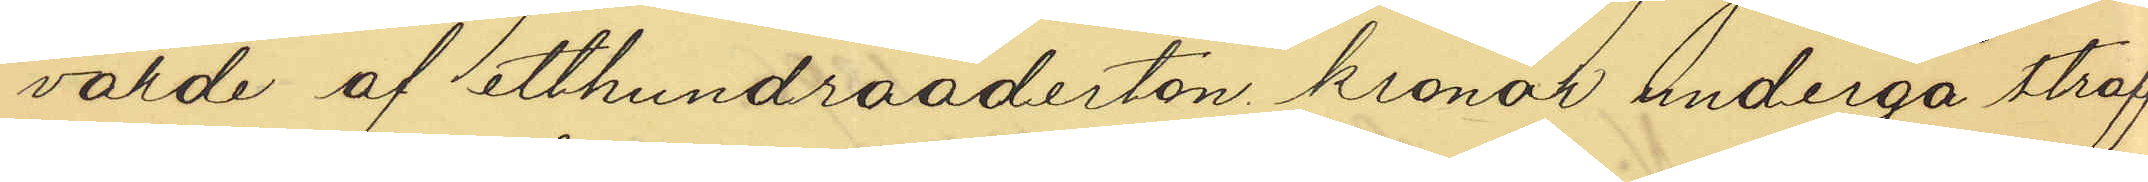värde af etthundraaderton kronor undergå straff¬
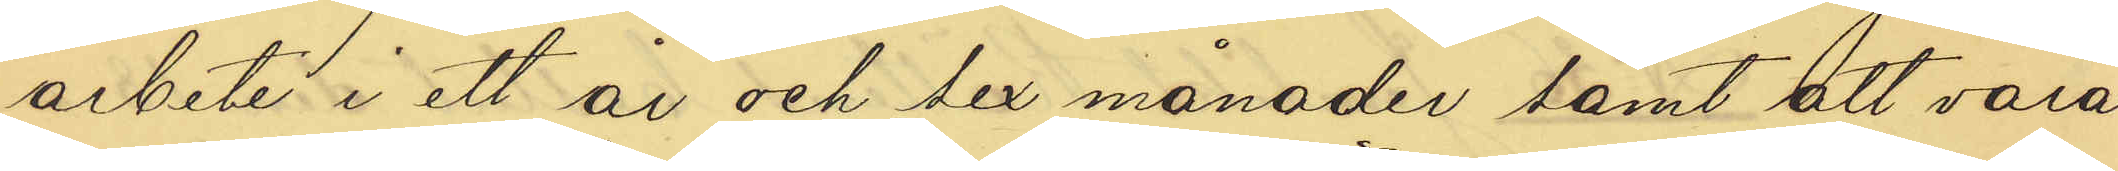arbete i ett år och sex månader samt att vara
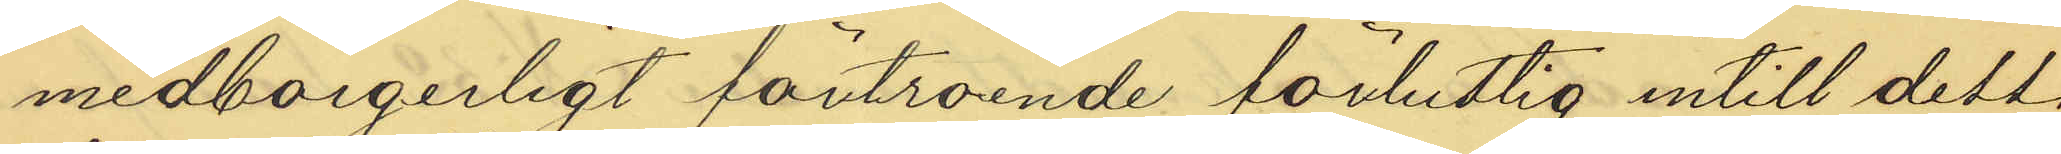medborgerligt förtroende förlustig intill dess,
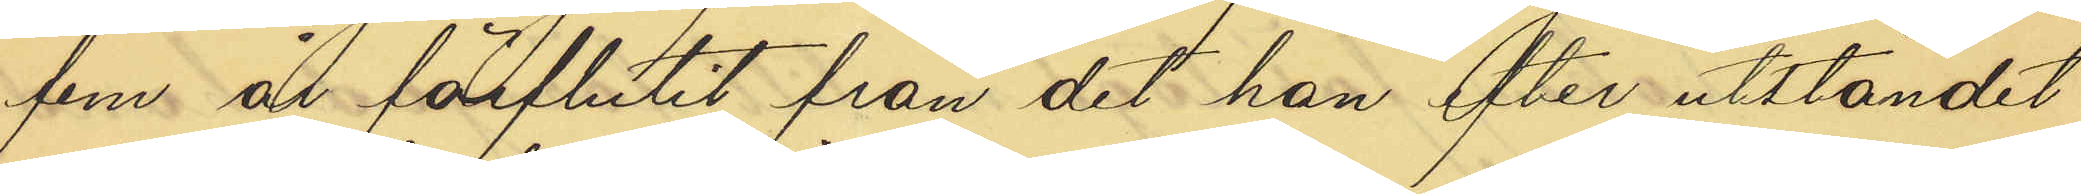fem år förflutit från det han efter utståndet
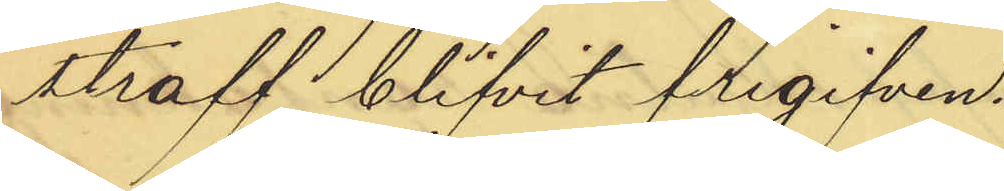straff blifvit frigiven.
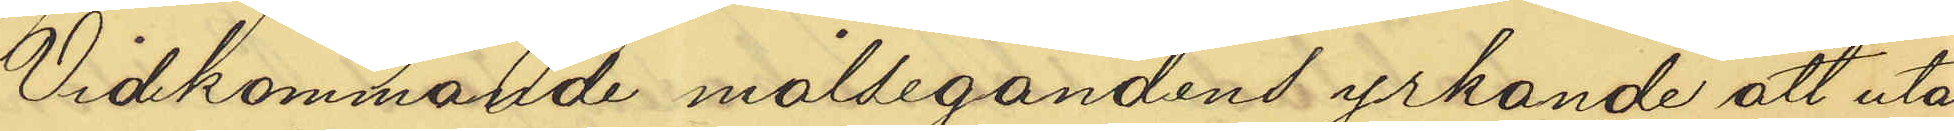Vidkommande målsegandens yrkande att utan
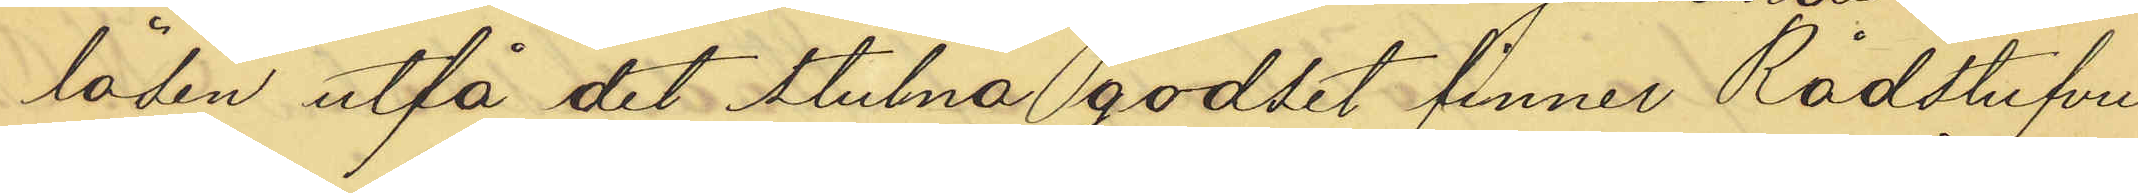lösen utfå det stulna godset finner Rådstufvu¬
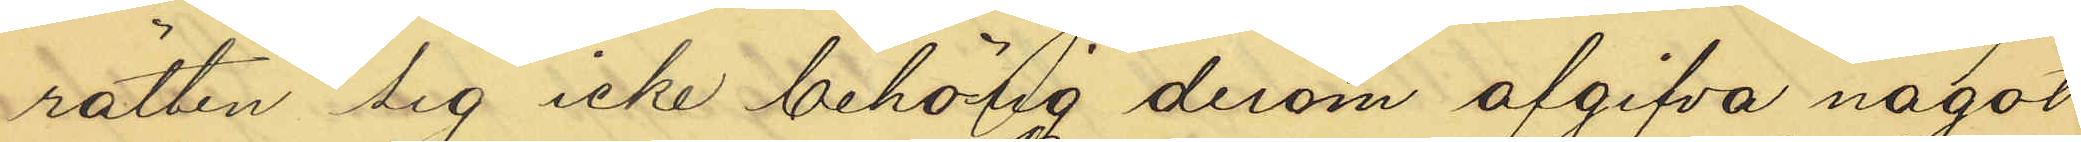rätten sig icke behörig derom afgifva något
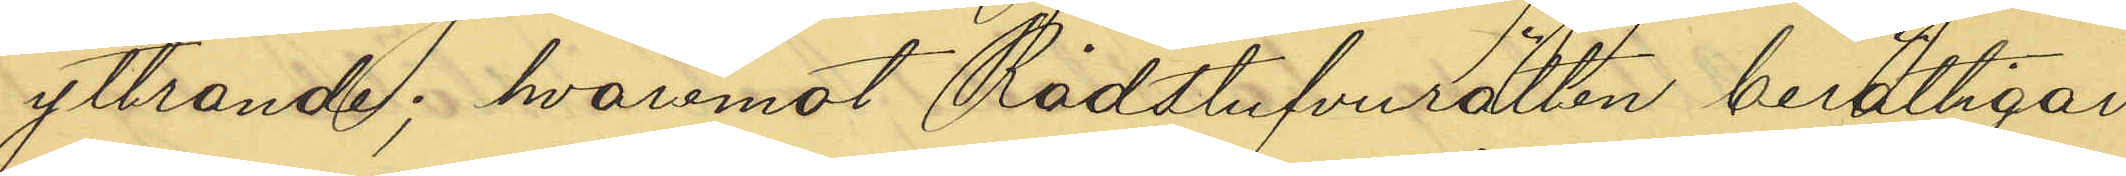yttrande; hvaremot Rådstufvurätten berättigar
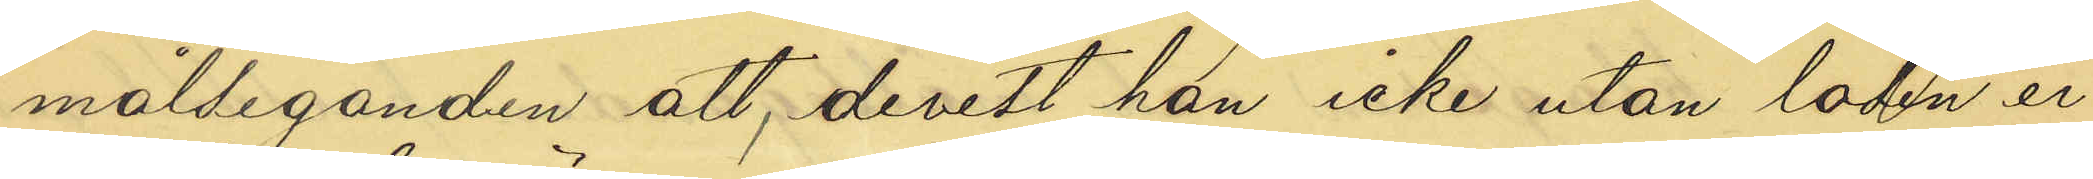målseganden att, derest han icke utan lösen er¬
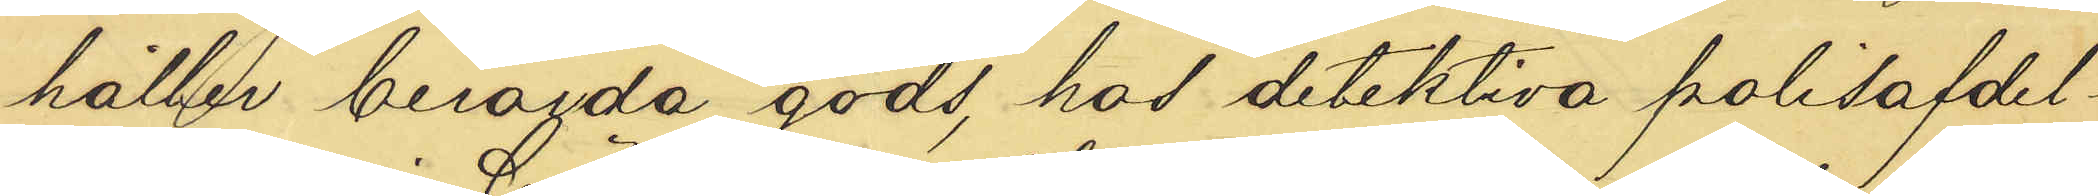håller berörda gods, hos detektiva Polisafdel¬
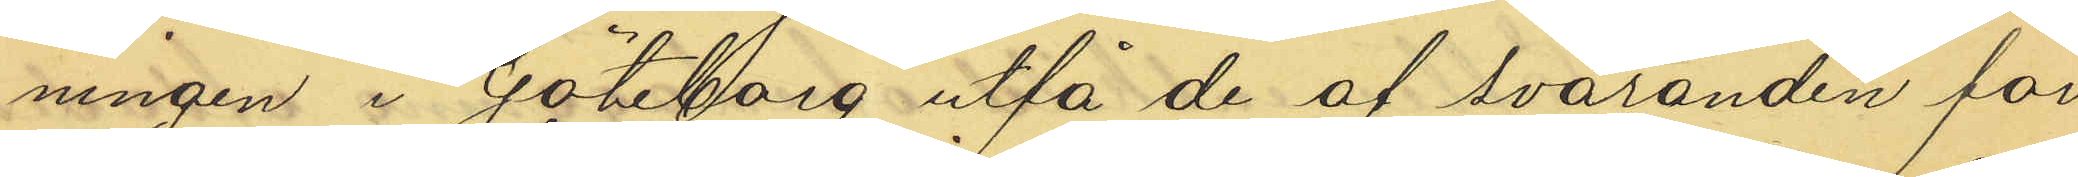ningen i Göteborg utfå de af svaranden för
